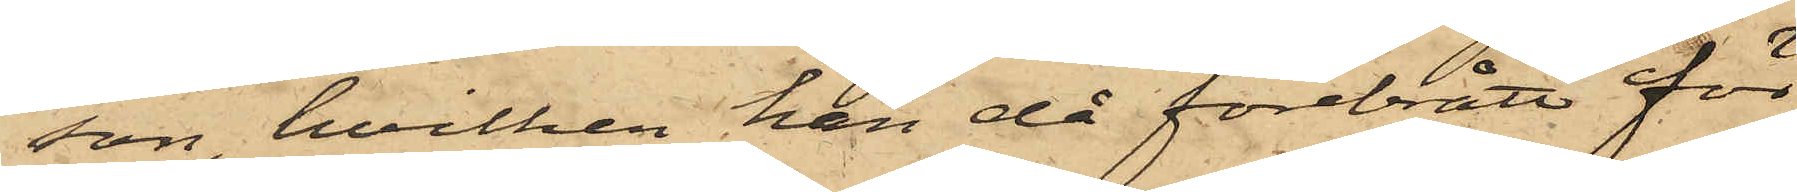son, hvilken han då förebrått för
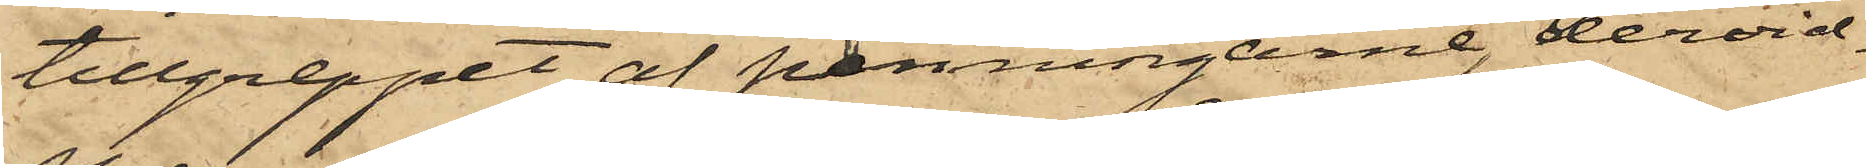tillgreppet af penningarne, dervid
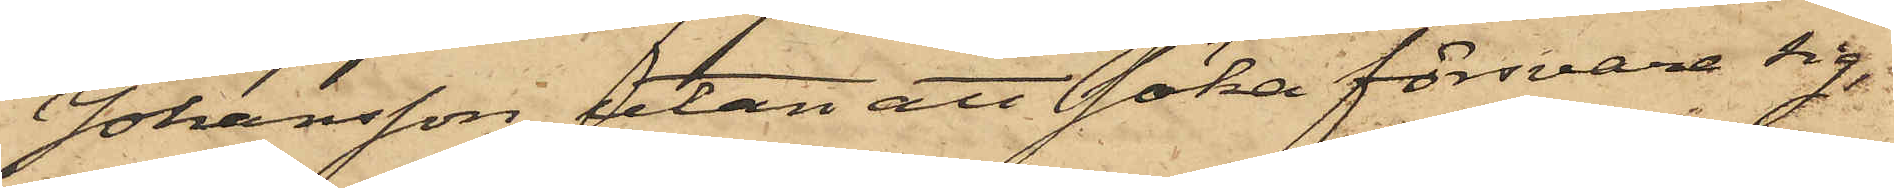Johansson, utan att söka försvara sig,
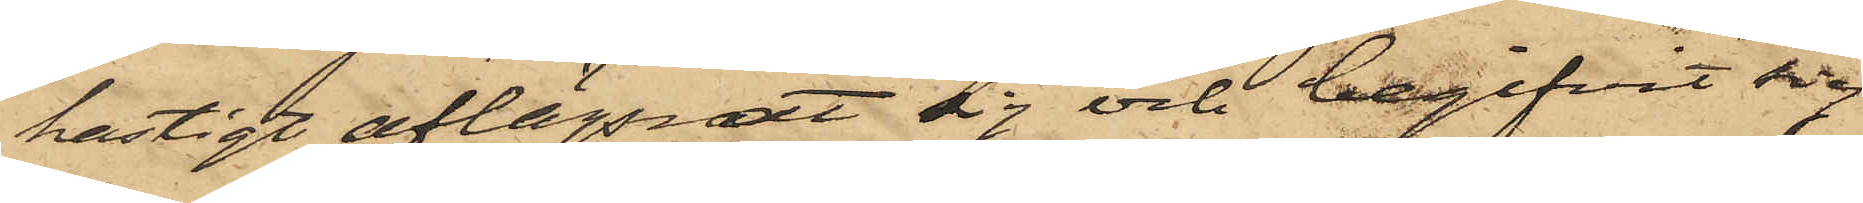hastigt aflägsnat sig och begifvit sig
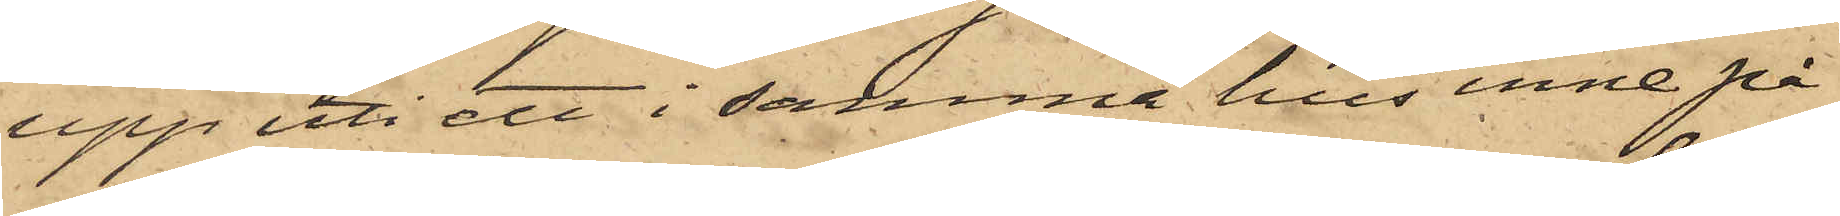upp uti ett i samma hus inne på
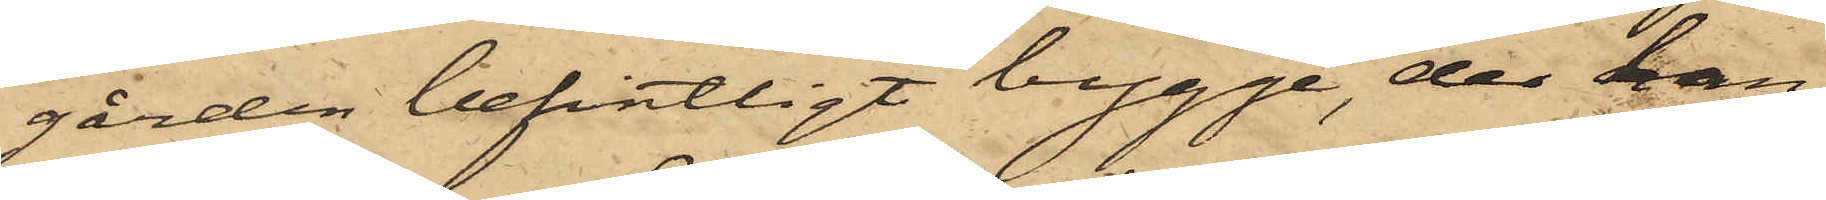gården befintligt bygge, der han
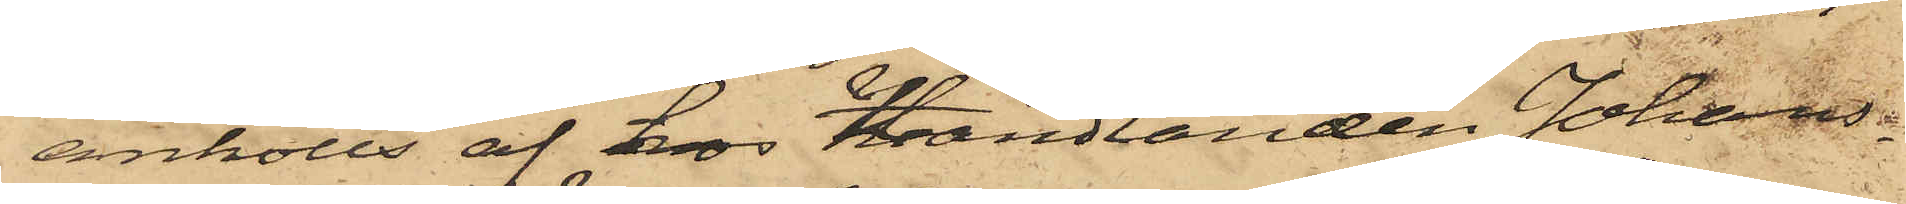anhölls af hos Handlanden Johans¬
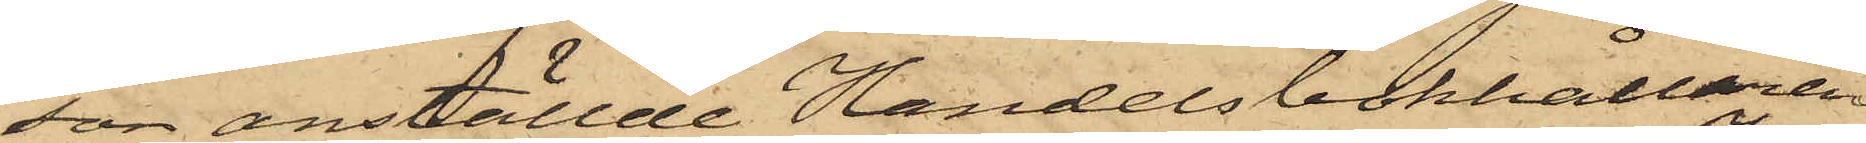son anställde Handelsbokhållaren
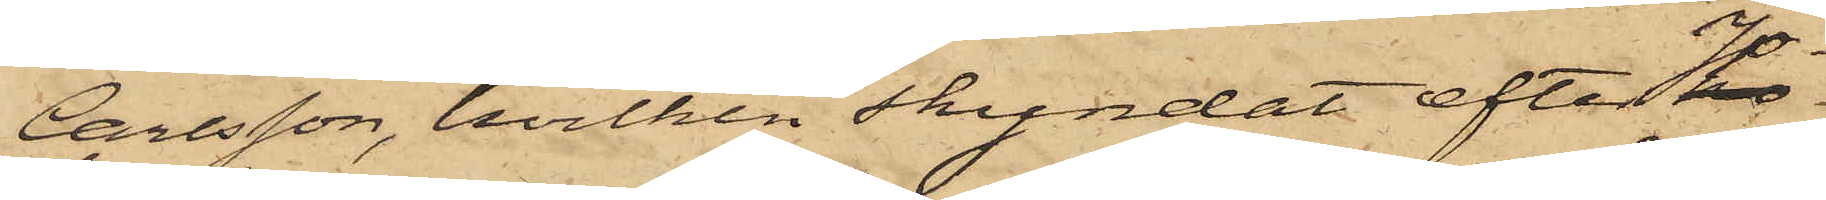Carlsson, hvilken skyndat efter Jo¬
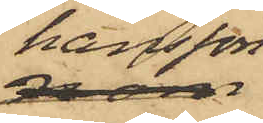hansson
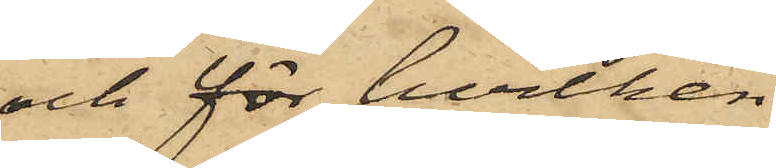och för hvilken
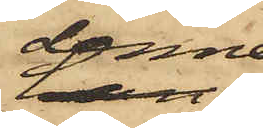denne
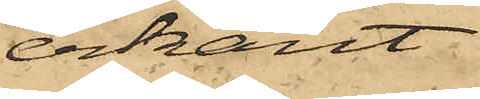erkänt
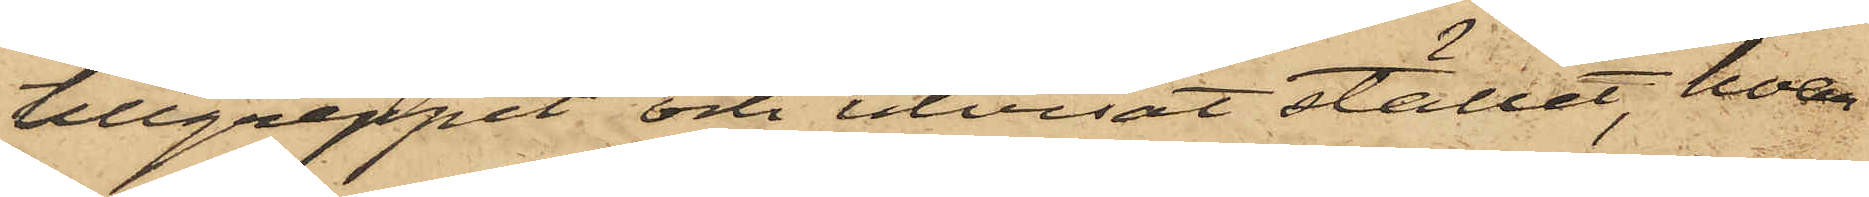tillgreppet och utvisat stället, hvar¬
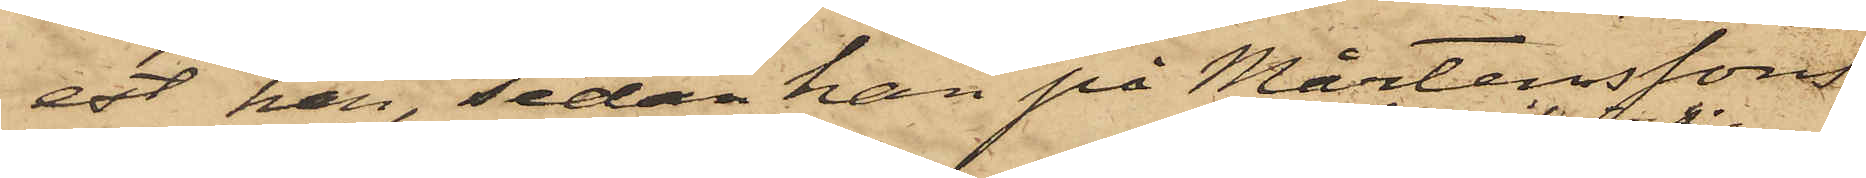est han, sedan han på Mårtenssons
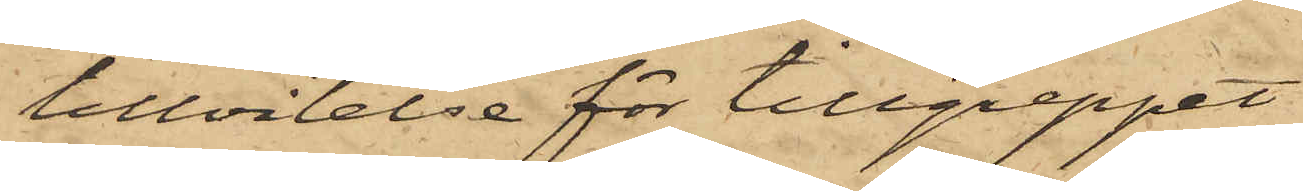tillvitelse för tillgreppet
